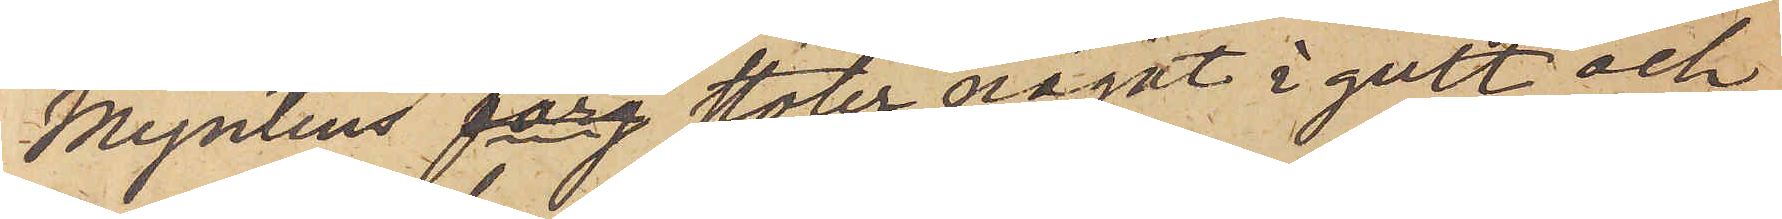Myntens färg stöter något i gult och
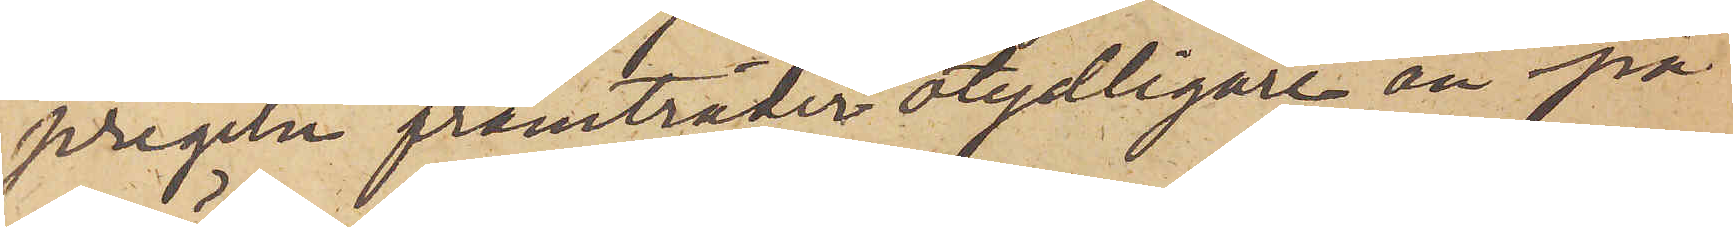pregeln framträder otydligare än på
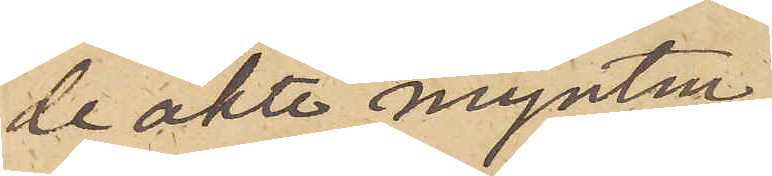de äkta mynten
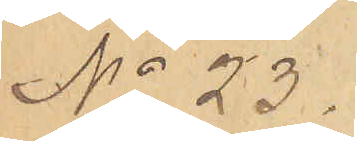No 23.
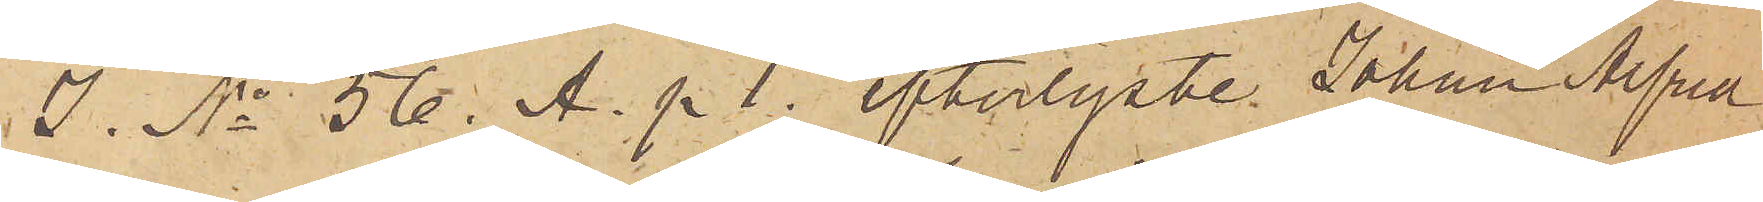I. No 56. A. p 1. efterlyste Johan Alfred
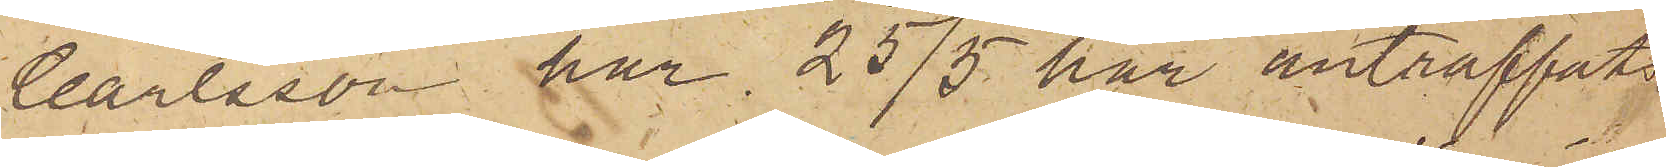Carlsson har 25/5 här anträffats.
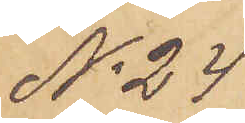No 24.
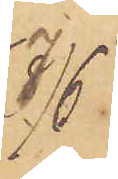7/6
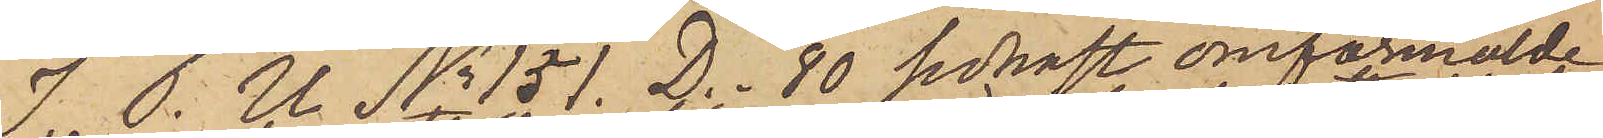I. P. U. No 151 D. _80 sednast omförmälde
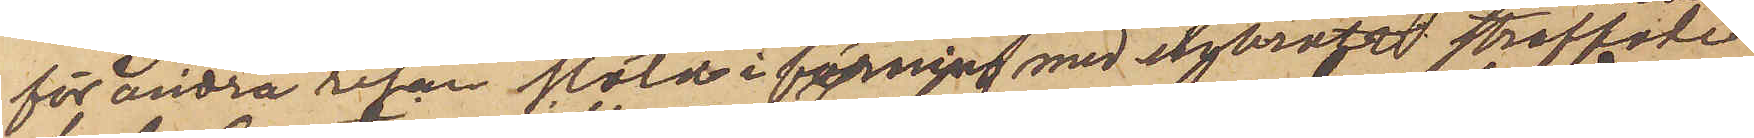för andra resan stöld i förening med inbrott straffade
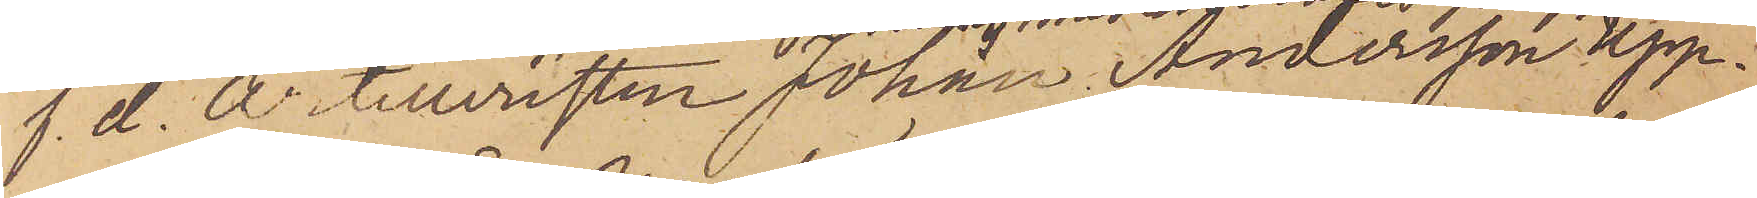f. d. Artilleristen Johan Andersson Upp¬
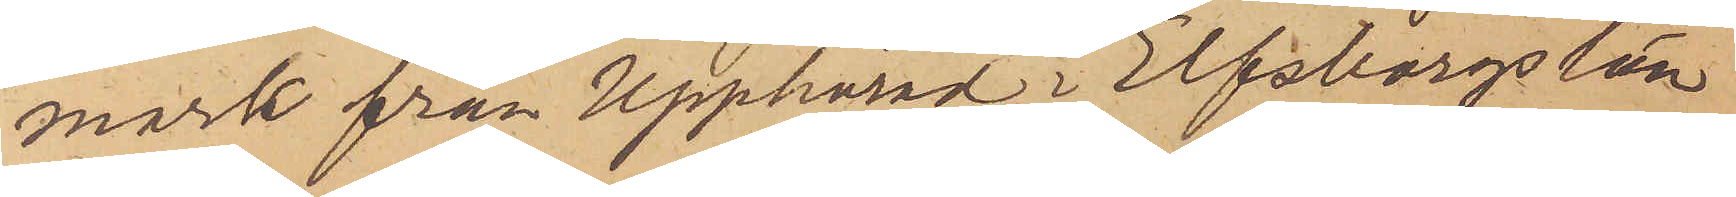mark från Upphärad i Elfsborgs län
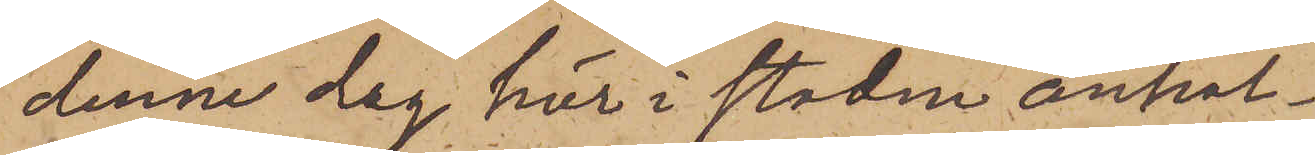denna dag här i staden anhål¬
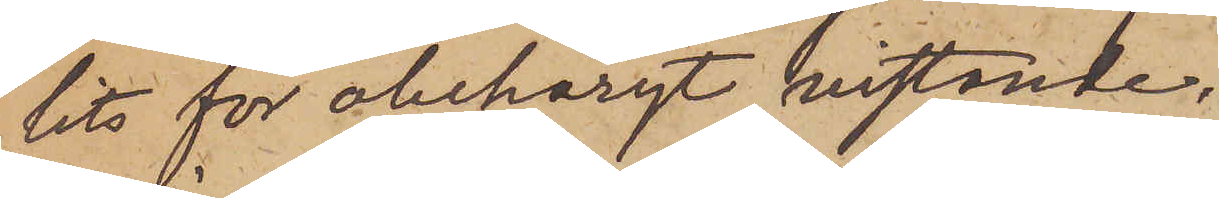lits för obehörigt vistande.
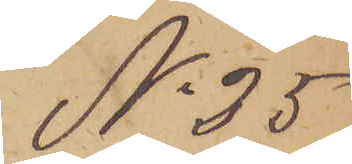No 25
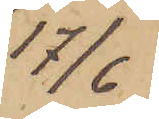17/6
